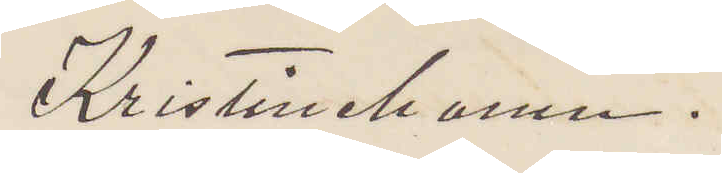Kristinehamn.
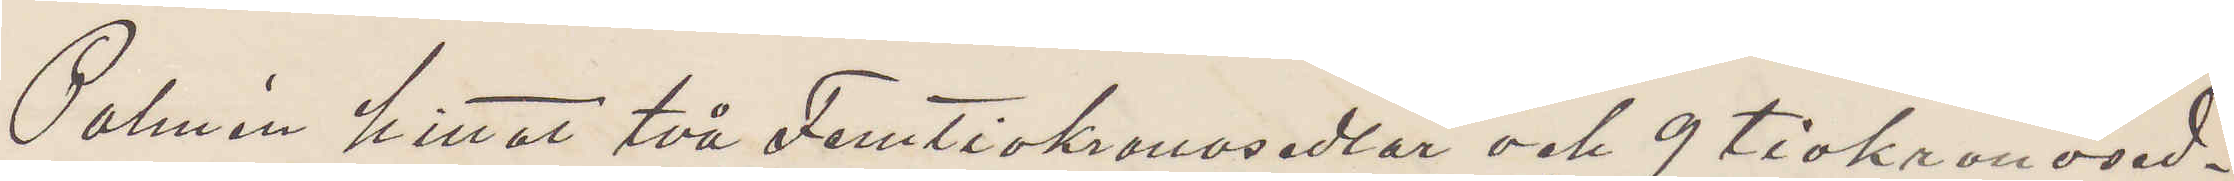Palmén hittat två Femtiokronosedlar och 9 tiokronosed¬
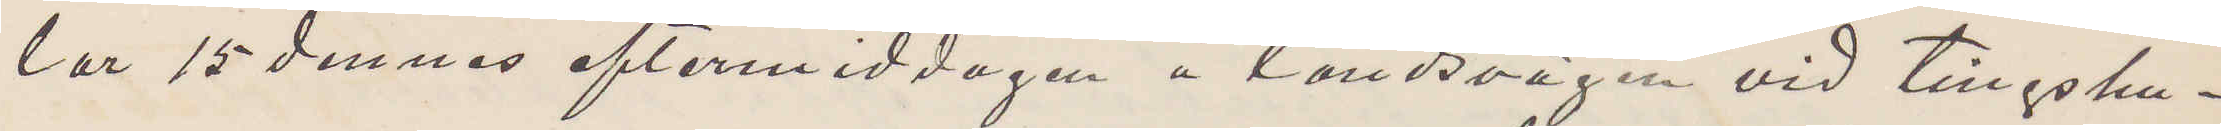lar 15 dennes eftermiddagen å landsvägen vid tingshu¬
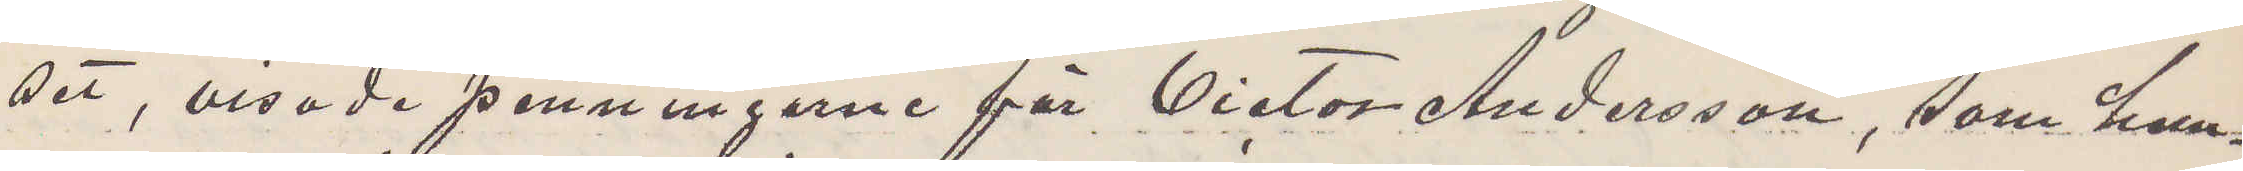set, visade penningarne för Victor Andersson, som hem¬
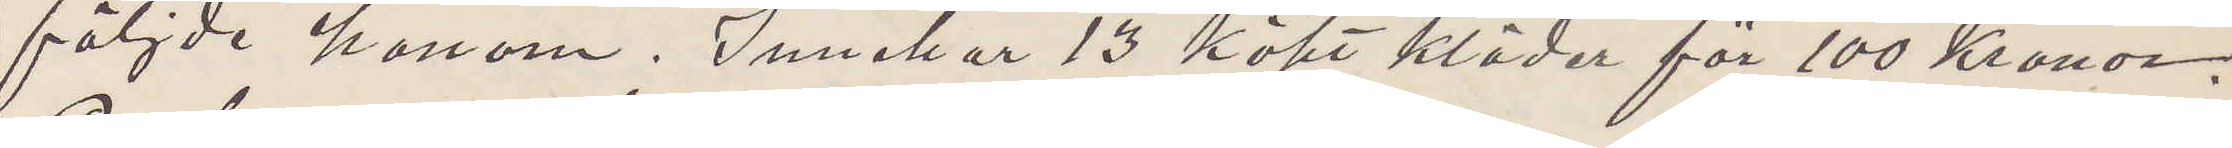följde honom. Innehar 13 köpt kläder för 100 Kronor.
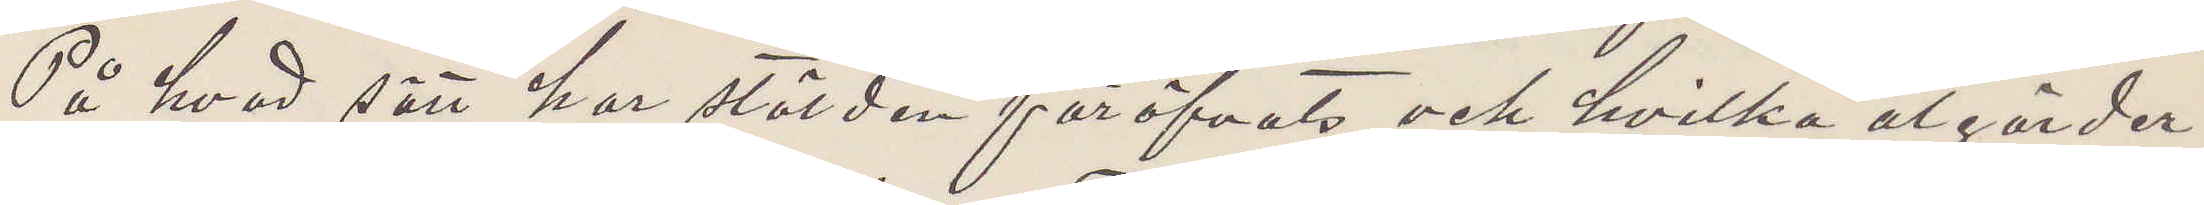På hvad sätt har stölden föröfvats och hvilka åtgärder
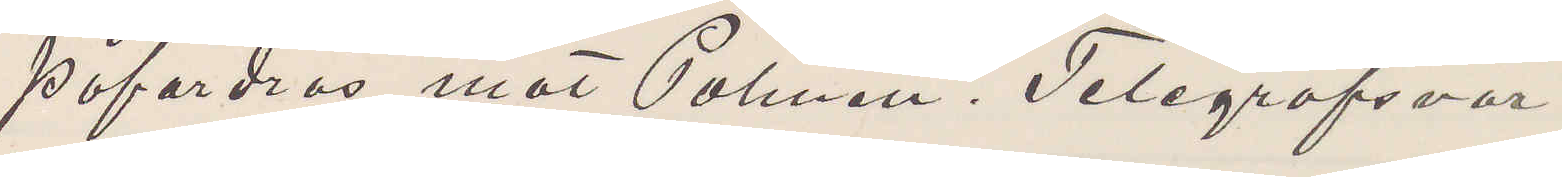påfordras mot Palmén. Telegrafsvar.
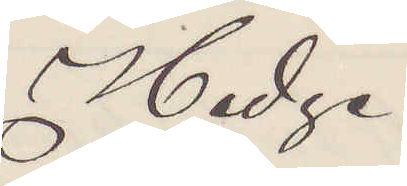Hedge
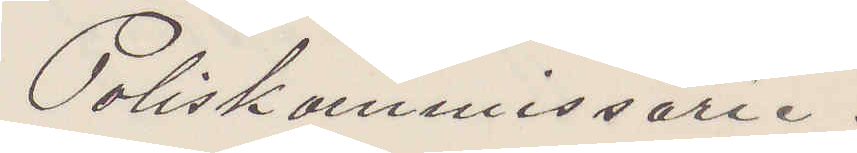Poliskommissarie.
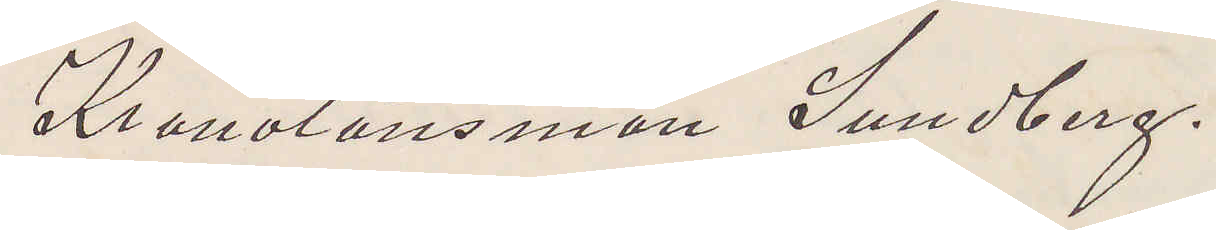Kronolänsman Sundberg.
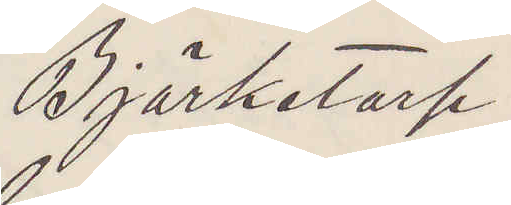Björketorp.
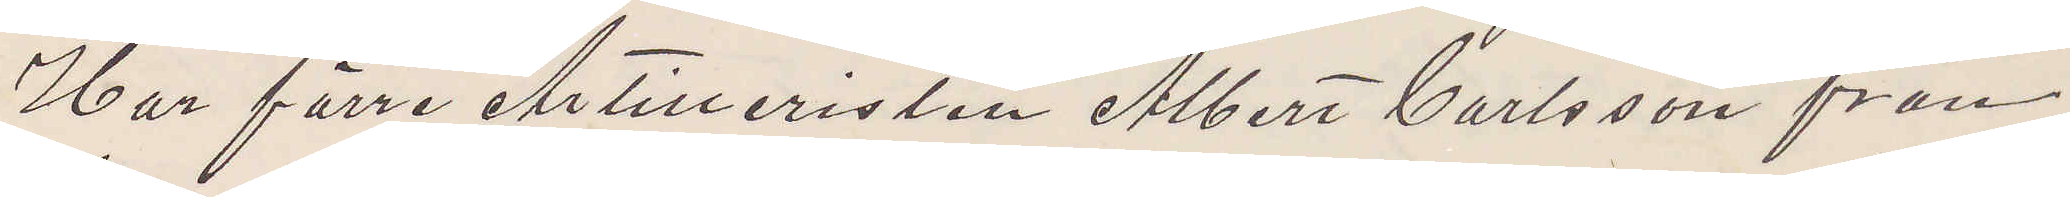Har förre Artilleristen Albert Carlsson från
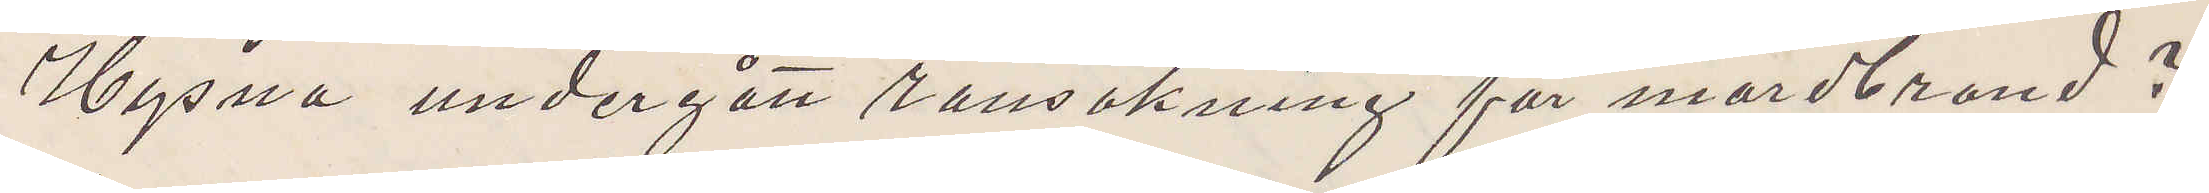Hysna undergått ransakning för mordbrand
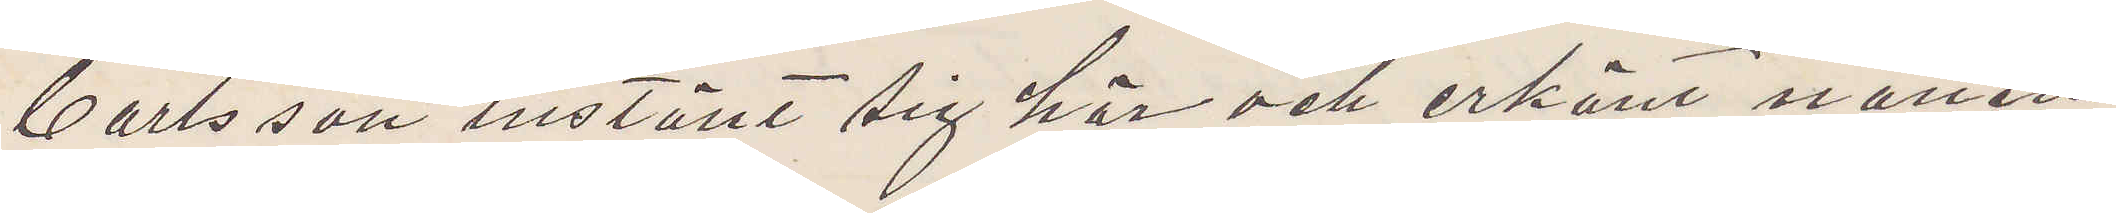Carlsson inställt sig hör och erkänt natten
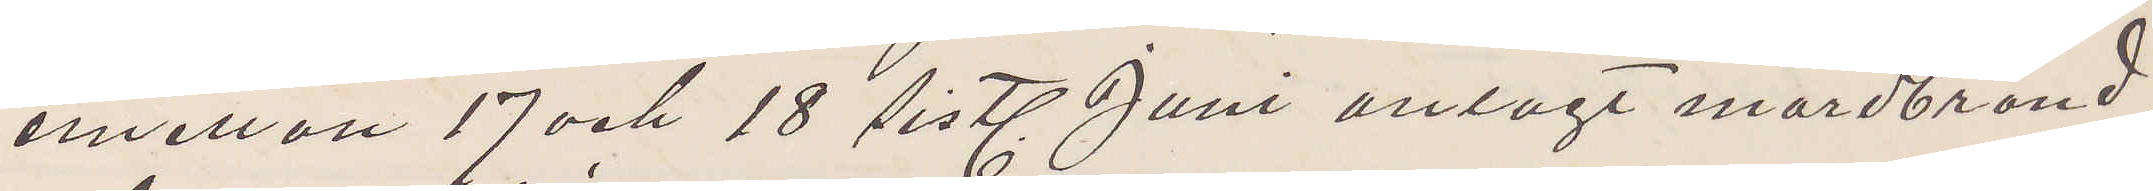emellan 17 och 18 sistl. Juni anlagt mordbrand
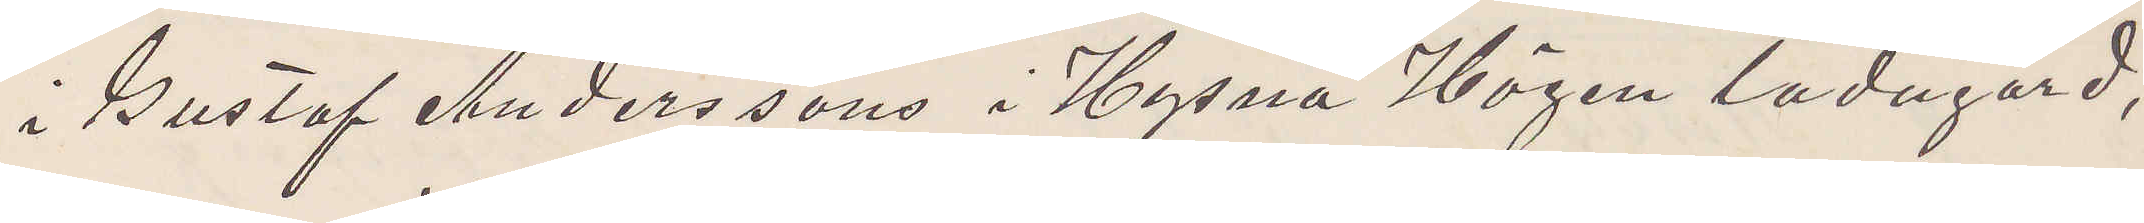i Gustaf Anderssons i Hysna Högen ladugård,
